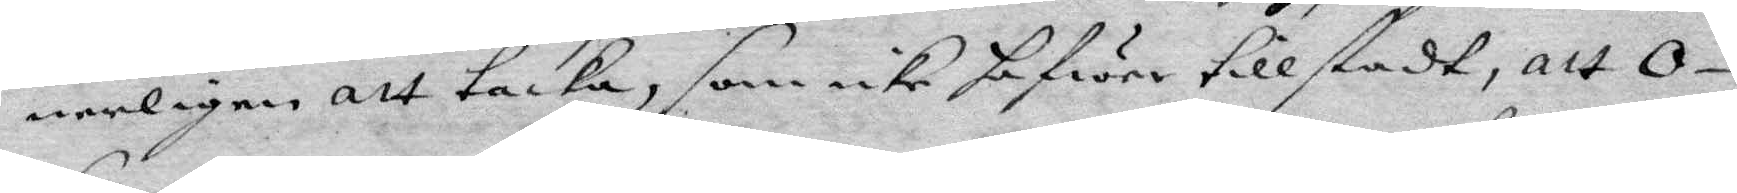nerligen att tacka, som icke hafwer tillstadt, alt O¬
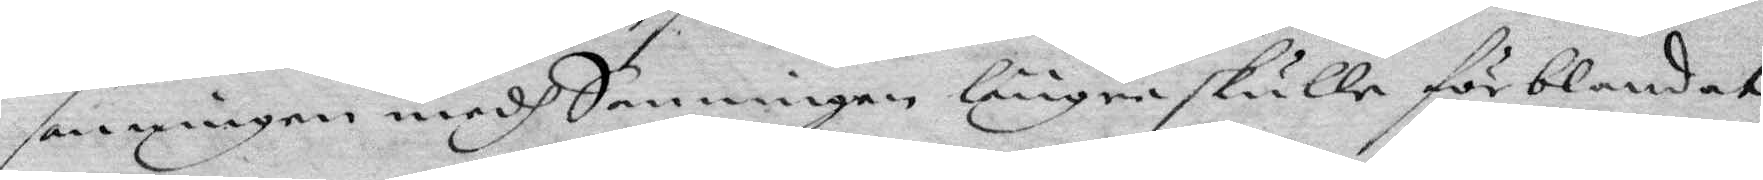sanningen medh Sanningen längre skulle förblandat
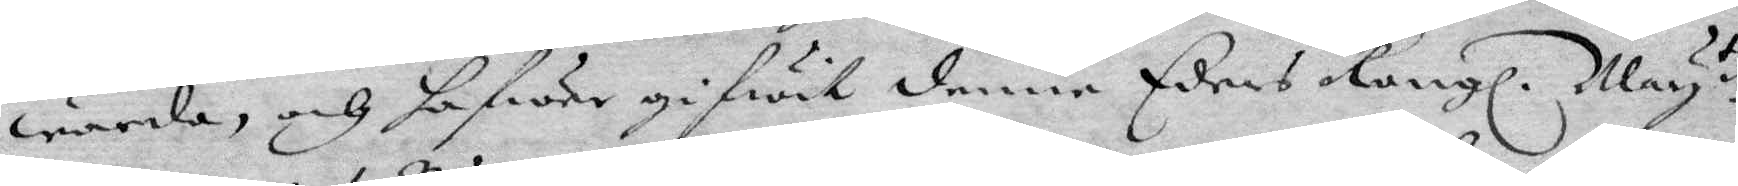warda, och hafwer gifwit denne Eders Kongl. May:tz
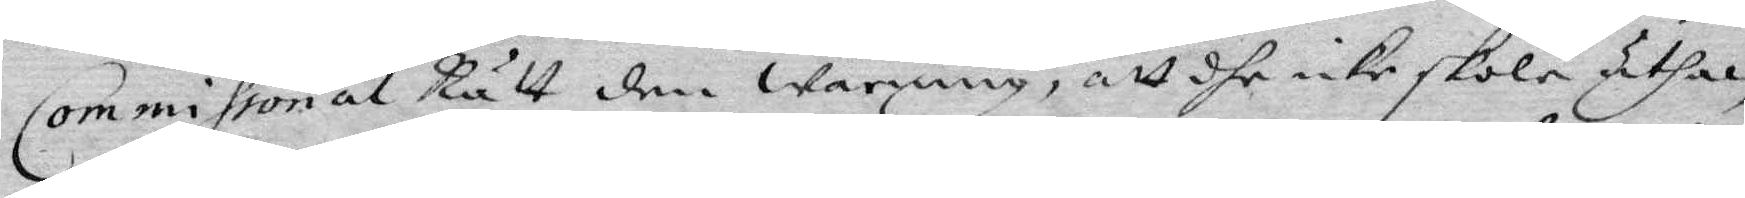Commissorial Rätt den warning, att dhe icke skole uthan
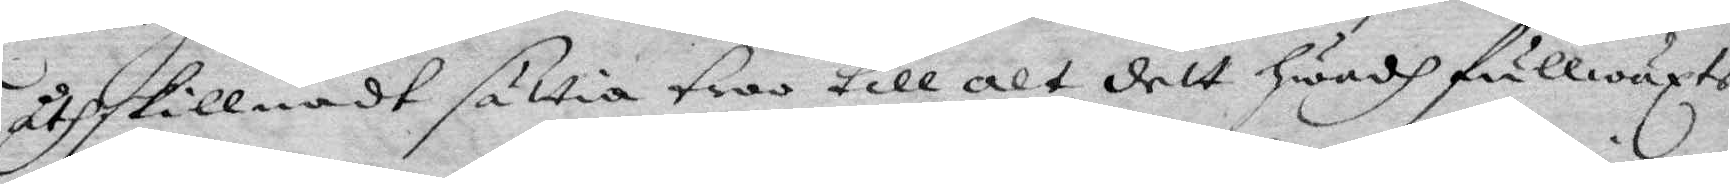åtskillnadt sättia troo till alt dett hwadh fullwäxte
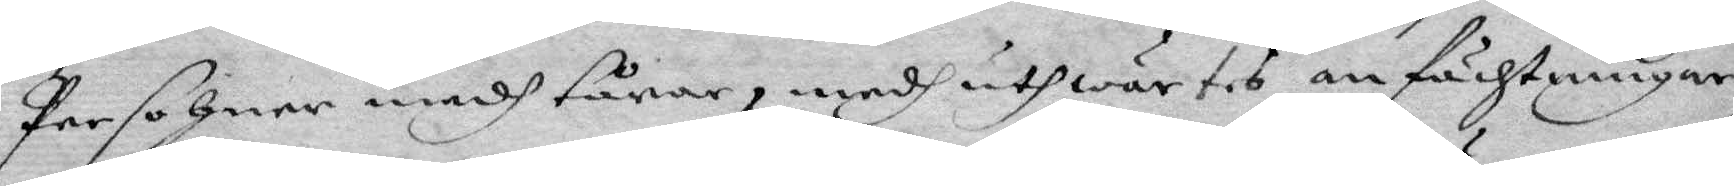Persohner medh tårar, medh uthwärtes anfächtningar
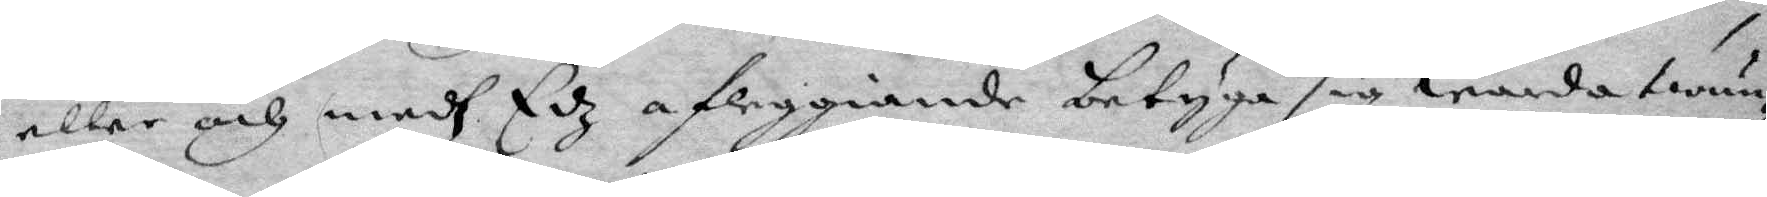eller och medh Edz afleggiande betyga sig warda twun¬
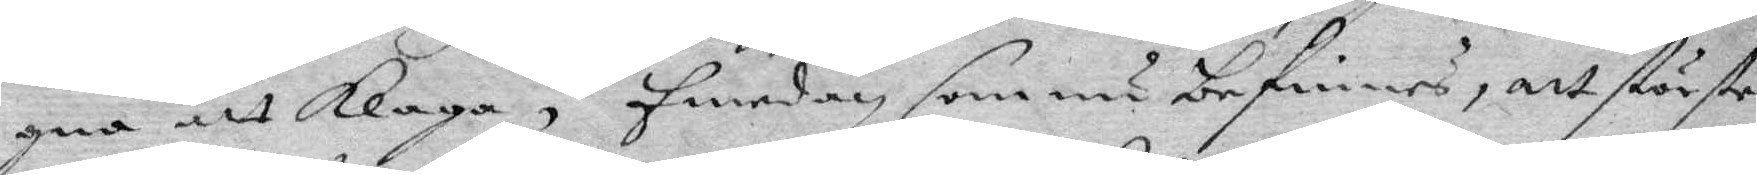gna att klaga, Emedan som nu beginnes, att störste
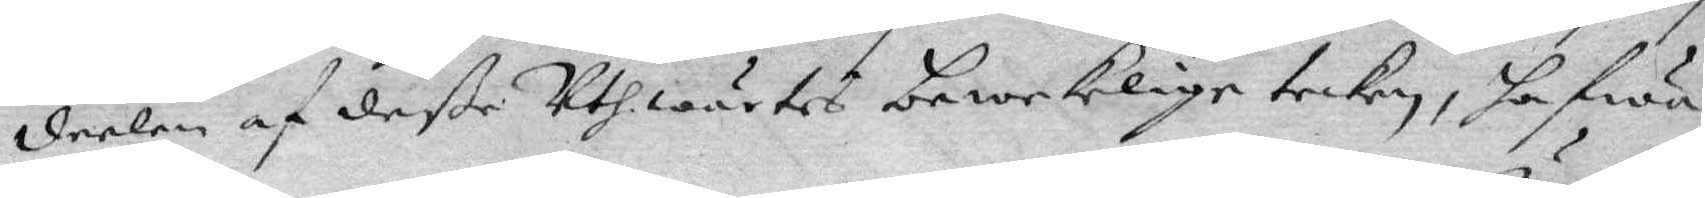deelen af deße Uthwärtes bewekelige tecken, hafwa
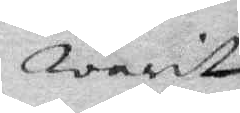warit
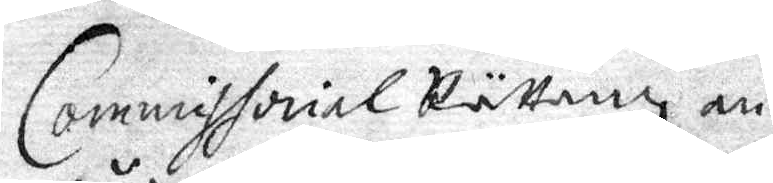Commissorial Rättenz an¬
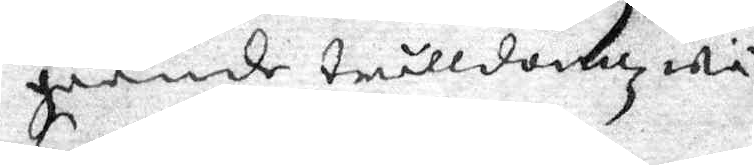gående trulldomz wä¬
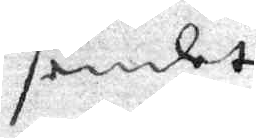sendet
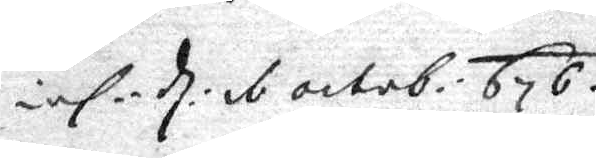inl. d: 1 octob: 676.
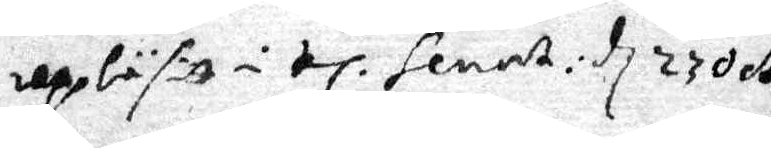upläsitt i el. senest: d 23 oct:
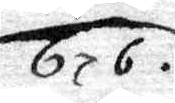676.
